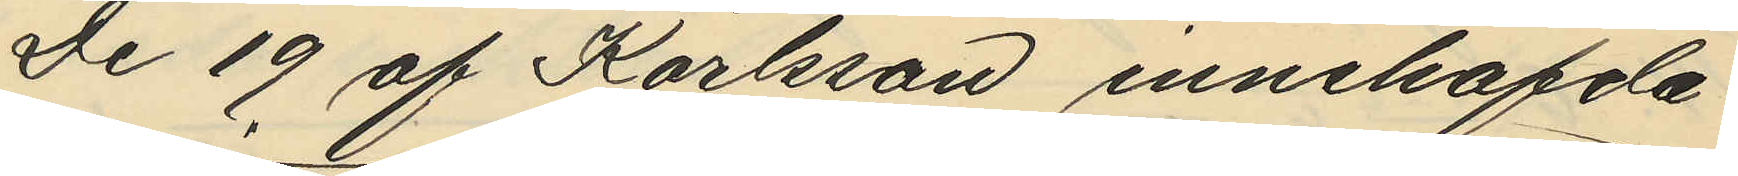De 19 af Karlsson innehafda
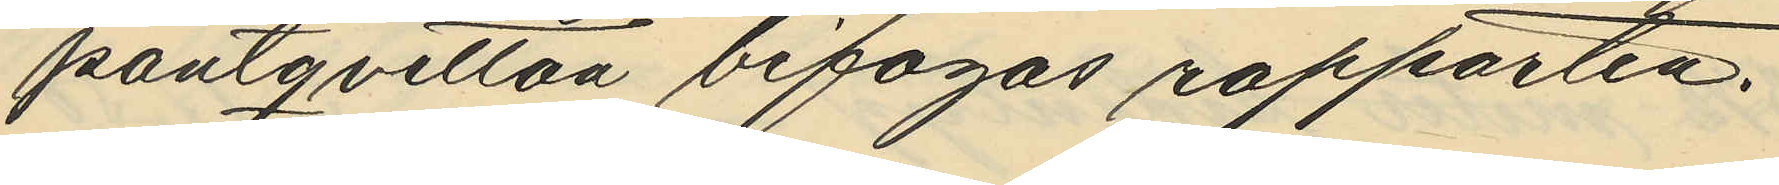pantqvitton bifogas rapporten.
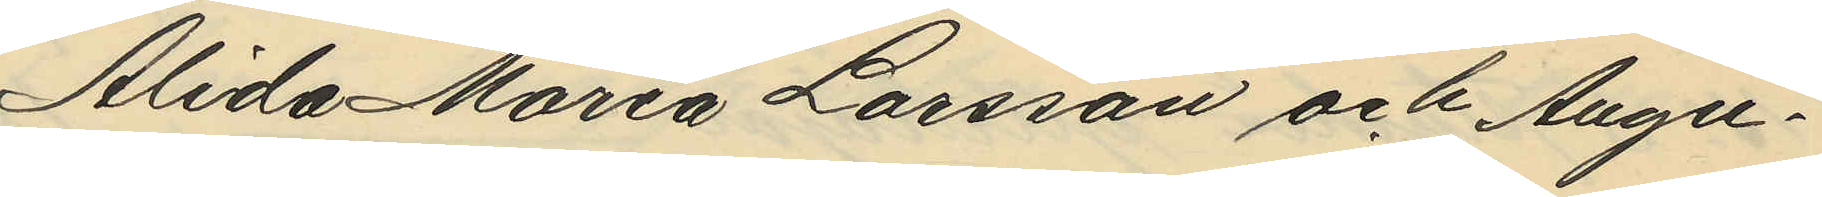Alida Maria Larsson och Augu¬
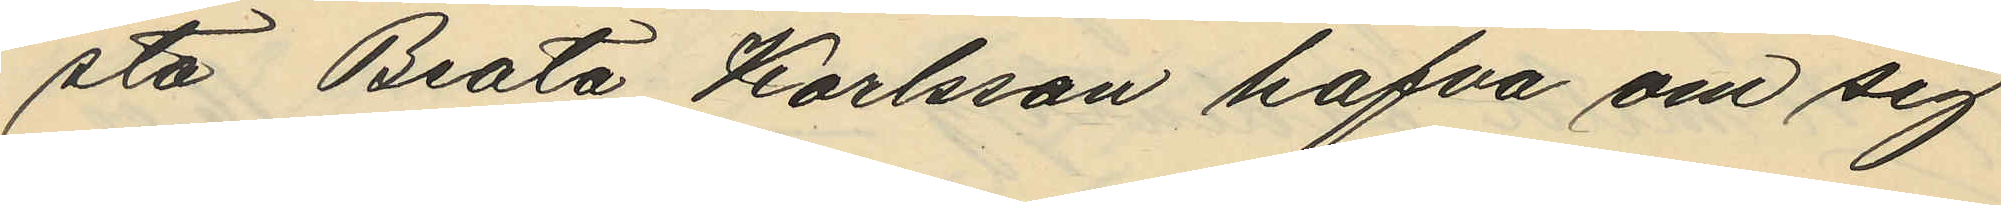stå Beata Karlsson hafva om sig
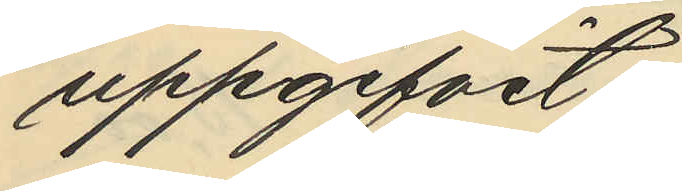uppgifvit:
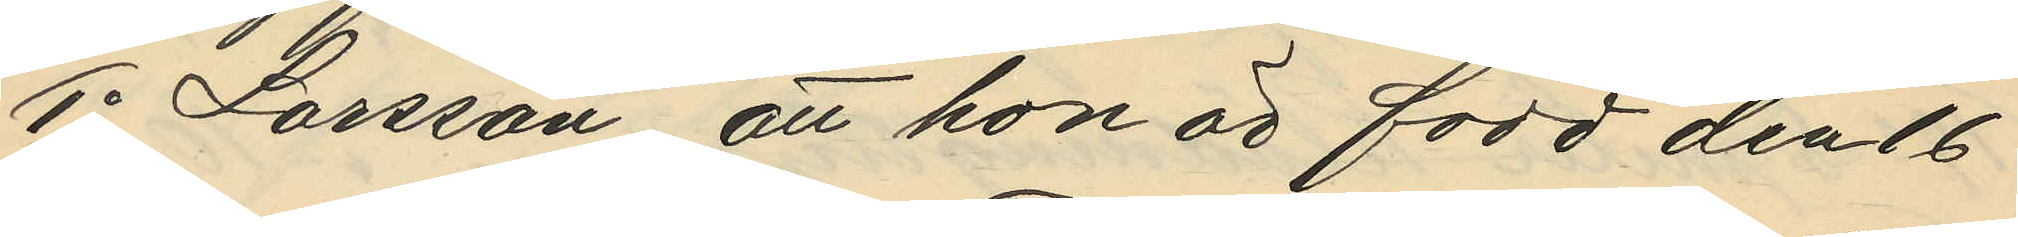1o Larsson att hon är född den 16
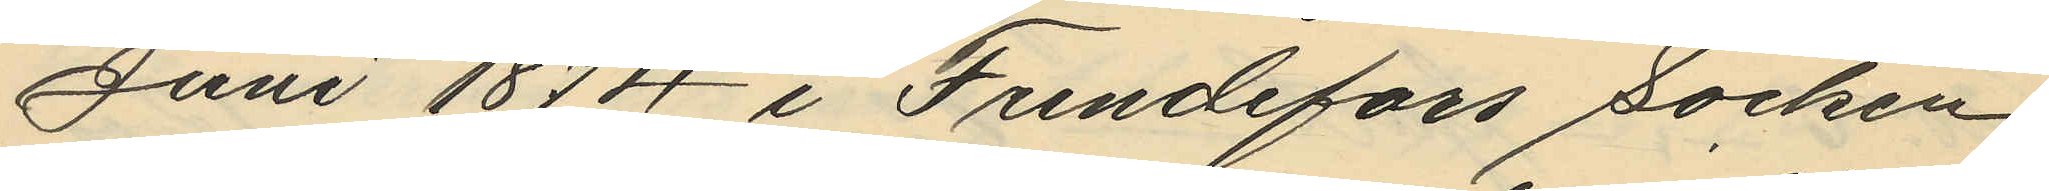Juni 1874 i Frendefors socken
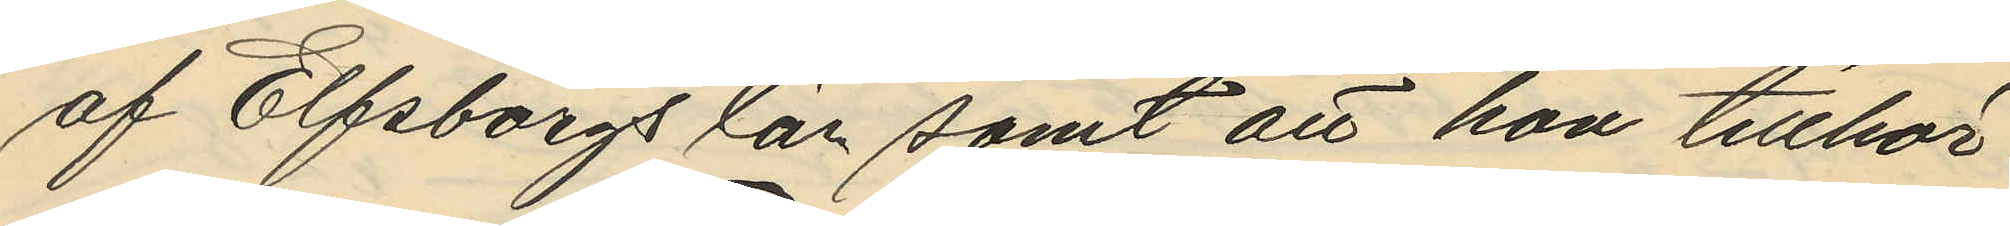af Elfsborgs län samt att hon tillhör
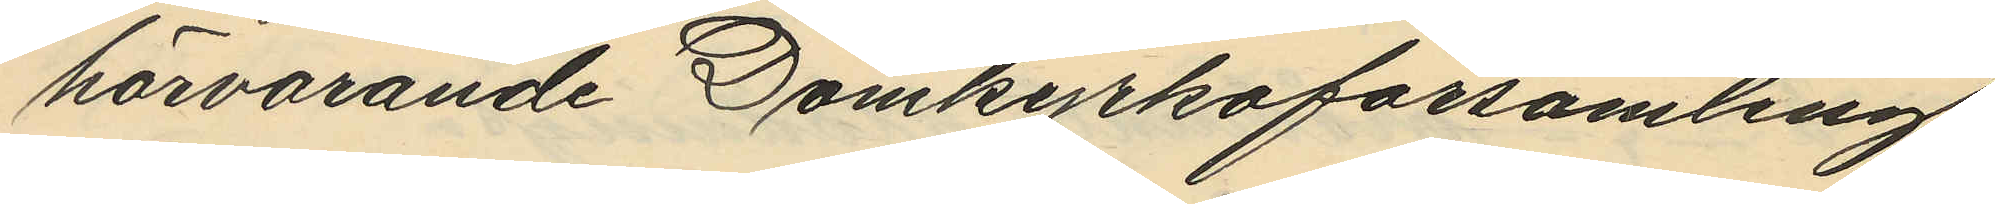härvarande Domkyrkoförsamling
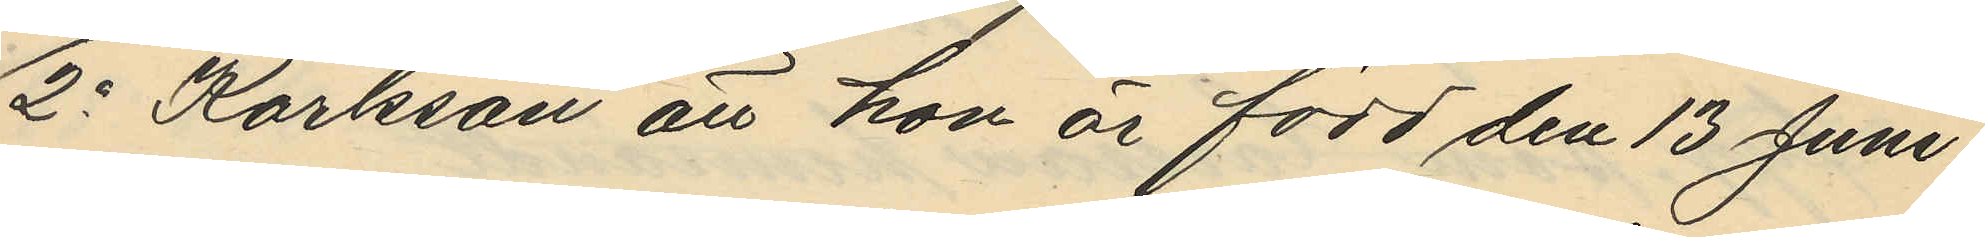2o Karlsson att hon är född den 13 Juni
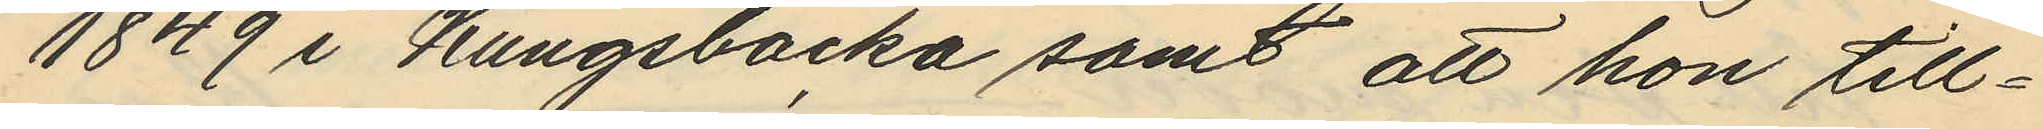1849 i Kungsbacka samt att hon till¬
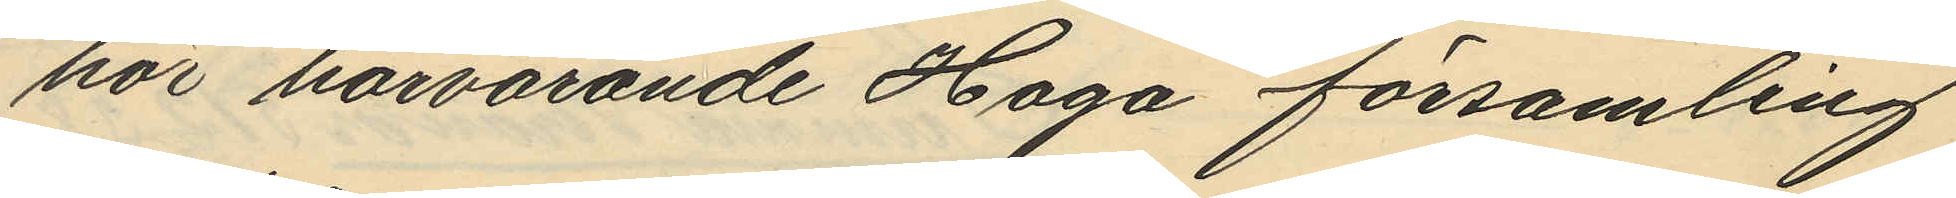hör härvarande Haga församling
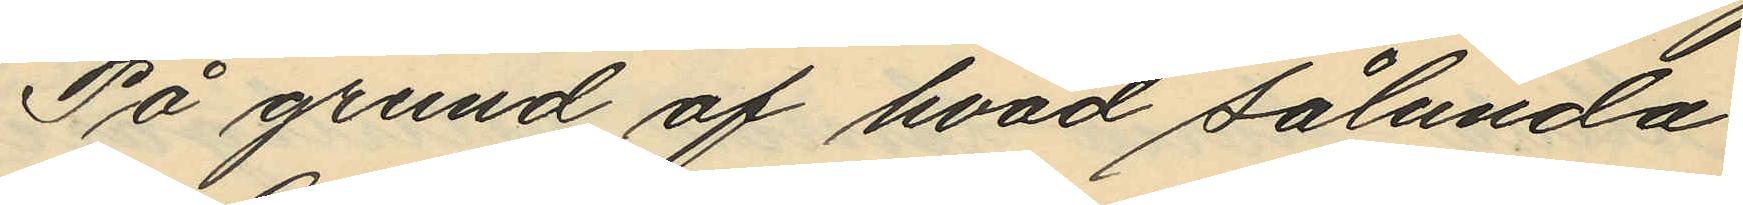På grund af hvad sålunda
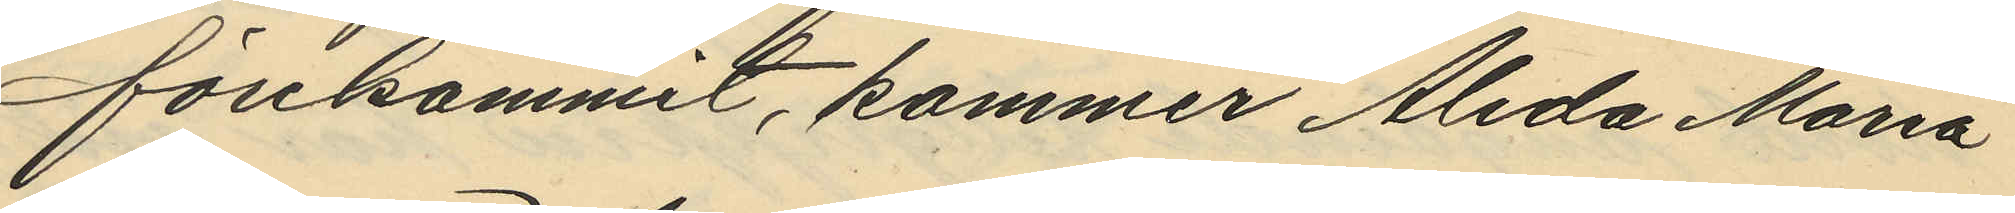förekommit, kommer Alida Maria
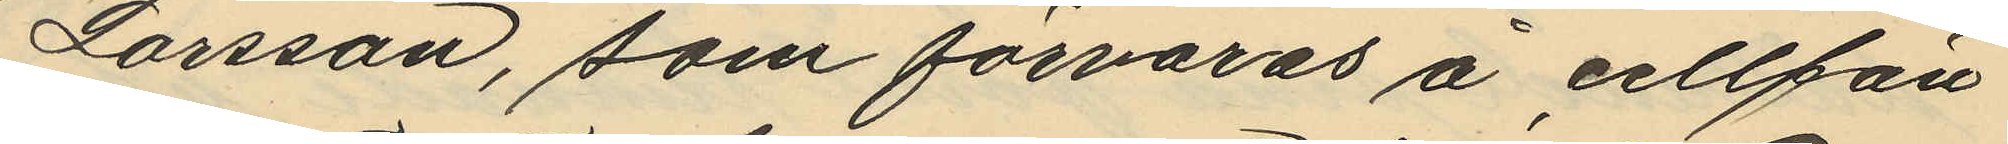Larsson, som förvaras å cellfän¬
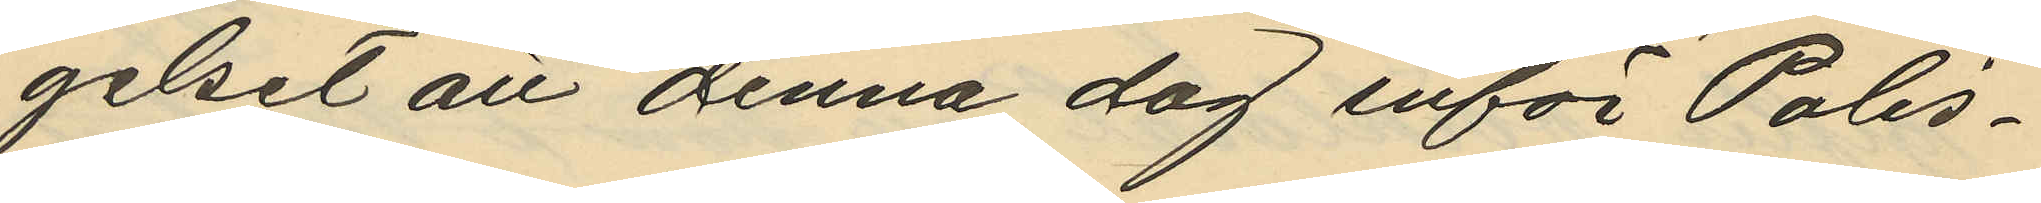gelset att denna dag inför Polis¬
